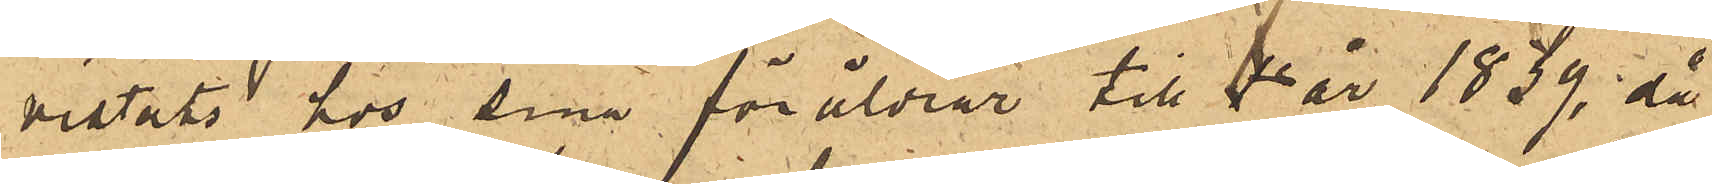vistats hos sina föräldrar till år 1839, då
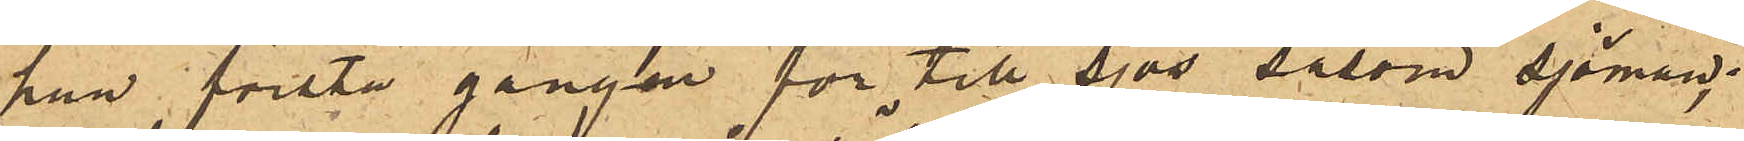han första gången for till sjös såsom sjöman;
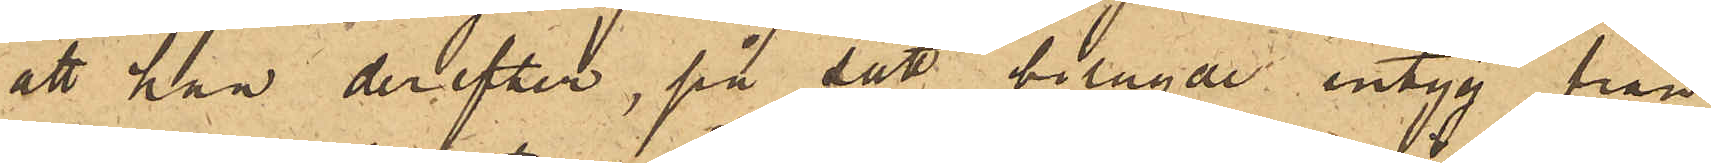att han derefter, på sätt bilagde intyg från
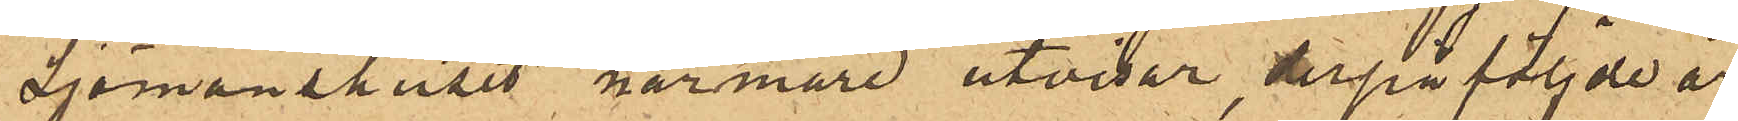Sjömanshuset närmare utvisar, derpåföljde år
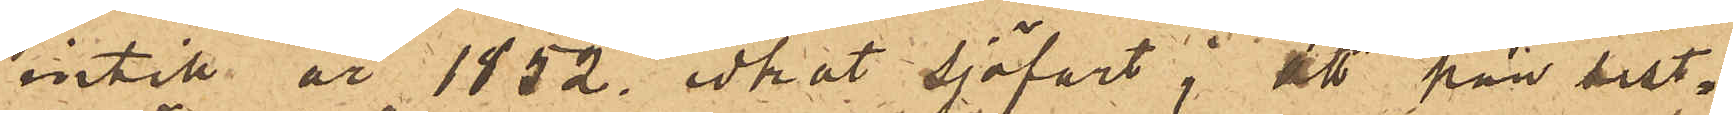intill år 1852. idkat sjöfart; att han sist¬
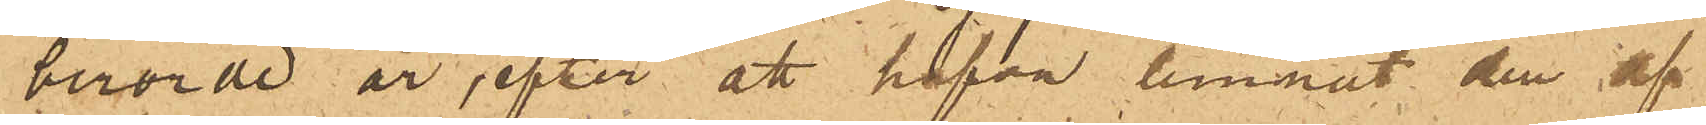berörde år, efter att hafva lemnat den af
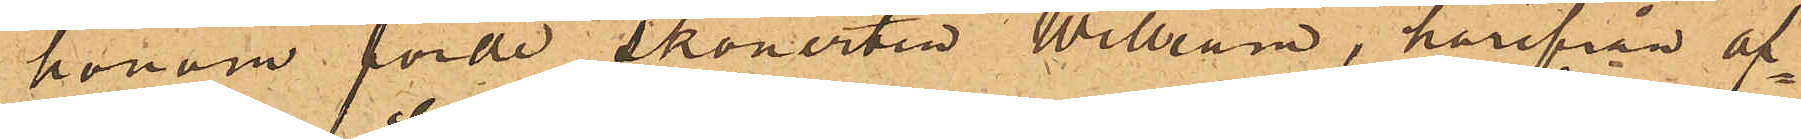honom förde skonerten William, härifrån af¬
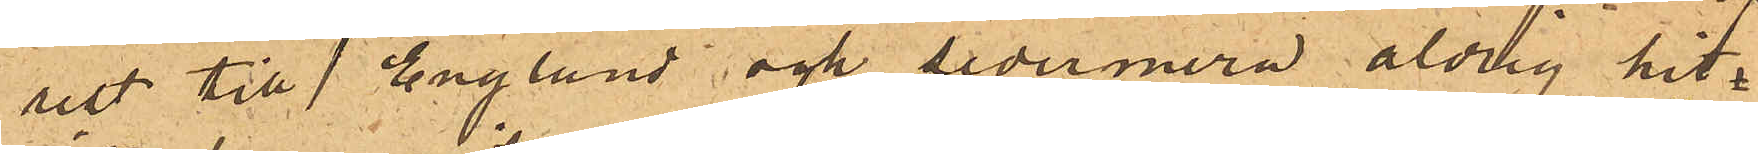rest till England och sedermera aldrig hit
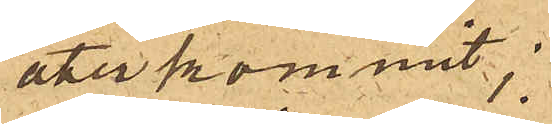återkommit;
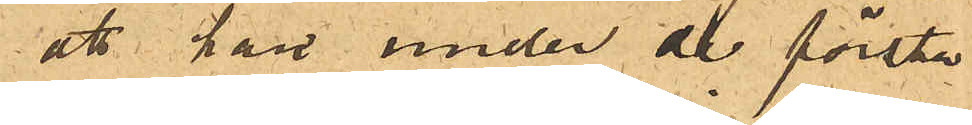att han under de första
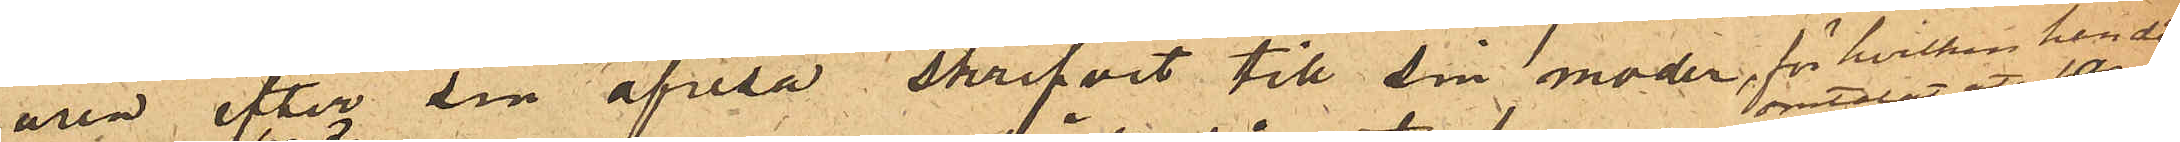åren efter sin afresa skrifvit till sin moder, för hvilken han då
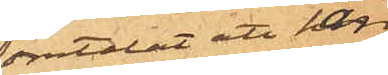omtalat att han
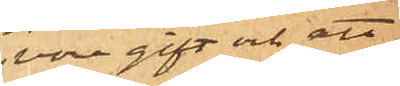vore gift och att
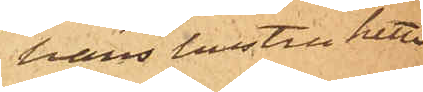hans hustru hette
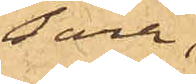Sara,
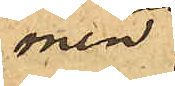men
